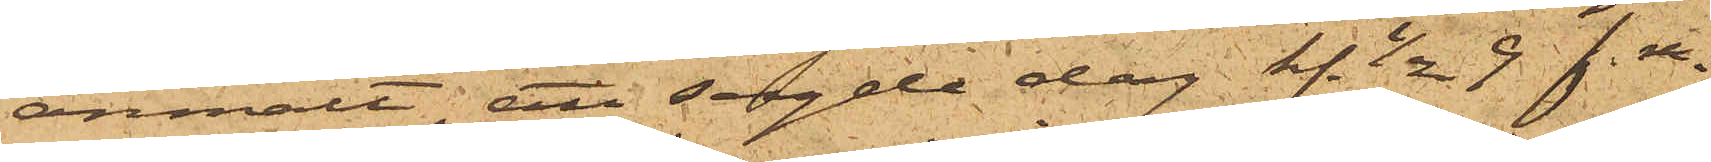anmält, att sagde dag kl. ½9 f.m.
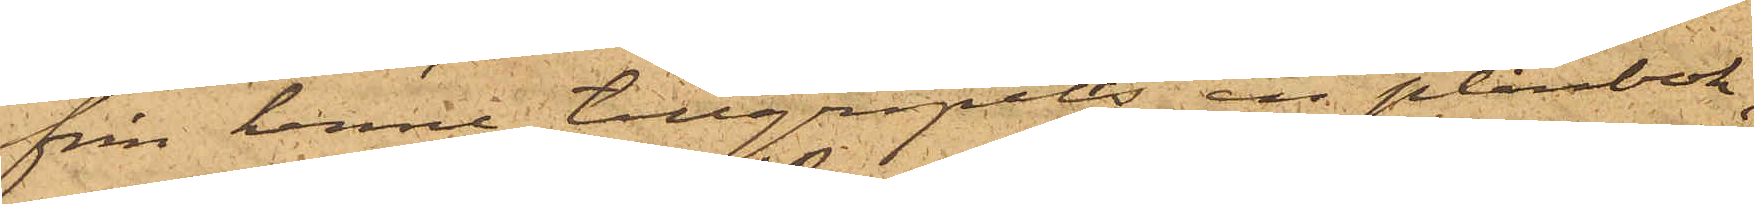från henne tillgripits en plånbok,
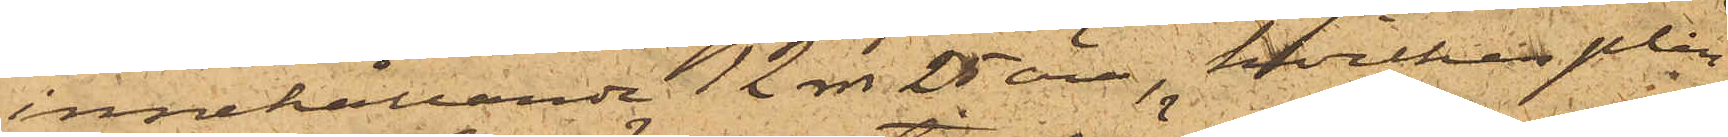innehållande 12 rdr 25 öre, hvilken plån¬
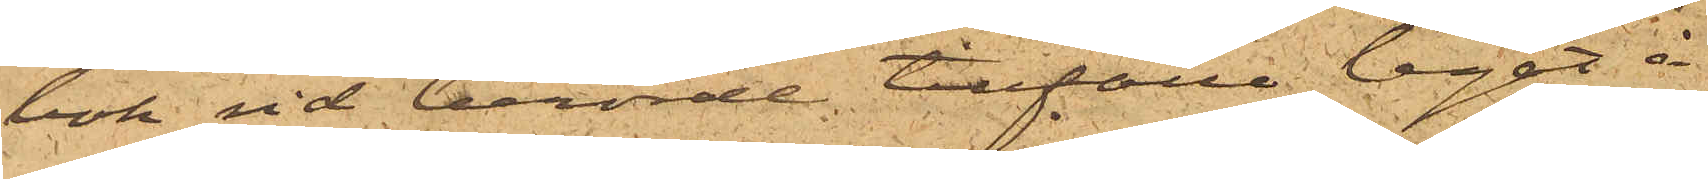bok vid berörde tillfälle legat å
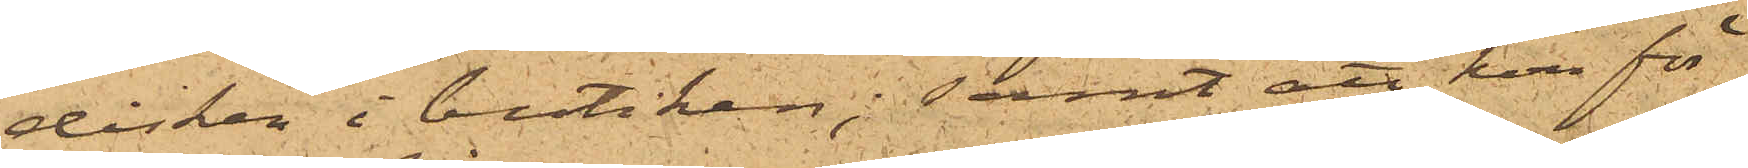disken i butiken; samt att hon för
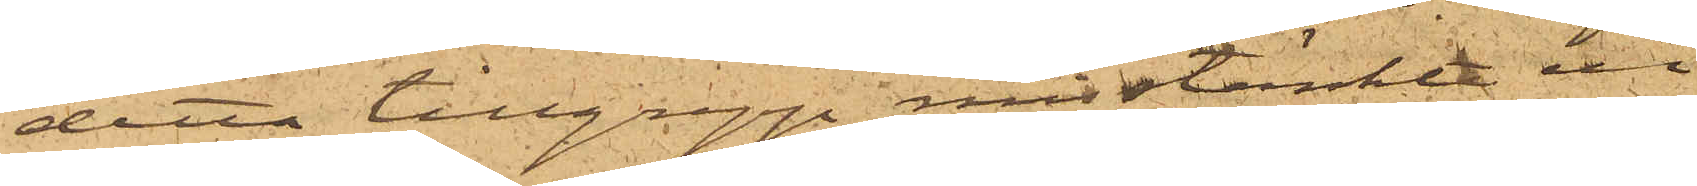detta tillgrepp misstänkte en
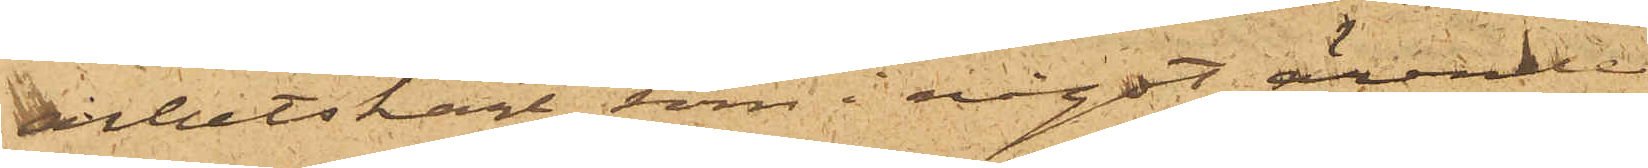arbetskarl, som i något ärende
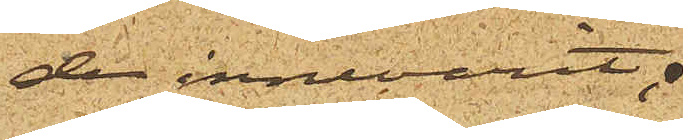der innevarit.
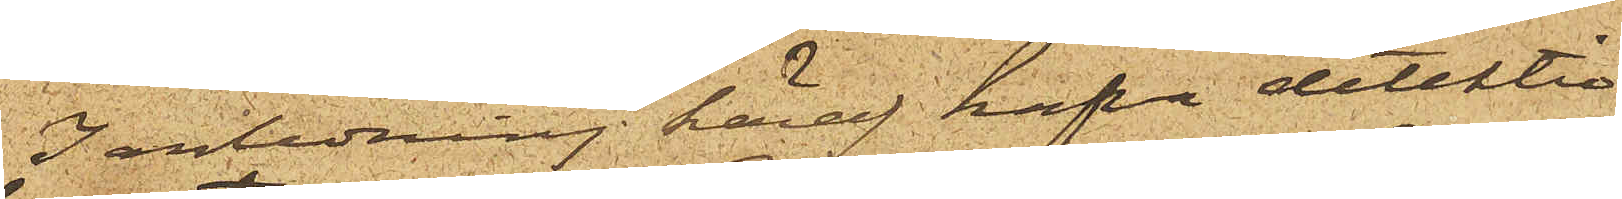I anledning häraf hafva detektiv¬
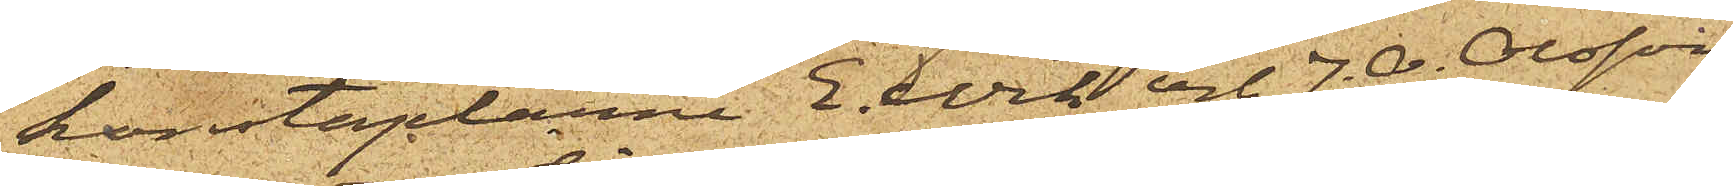konstaplarne E. Wik och J. A. Olsson
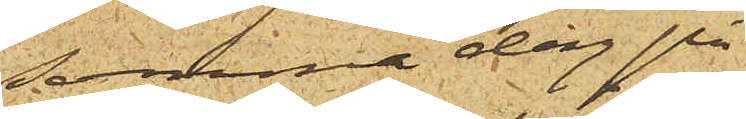samma dag på
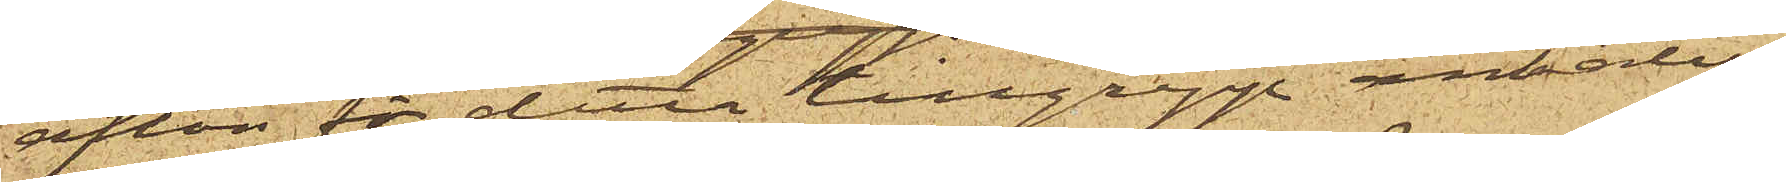afton för detta tillgrepp anhållit
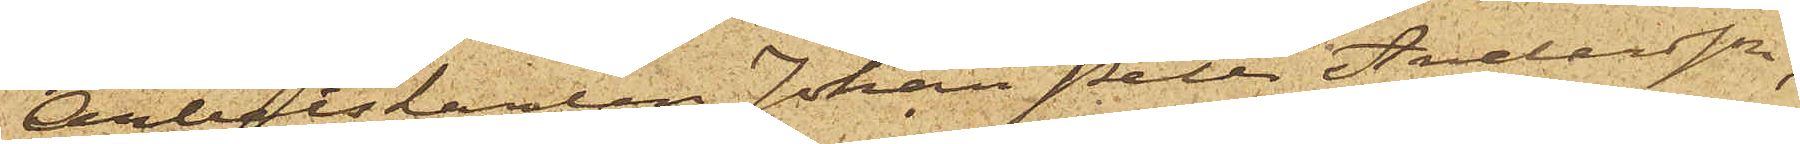Arbetskarlen Johan Peter Andersson,
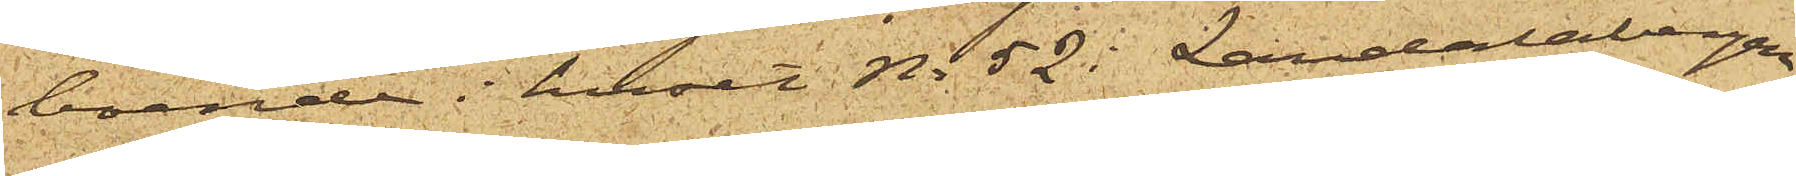boende i huset No 52 i Landalabergen,
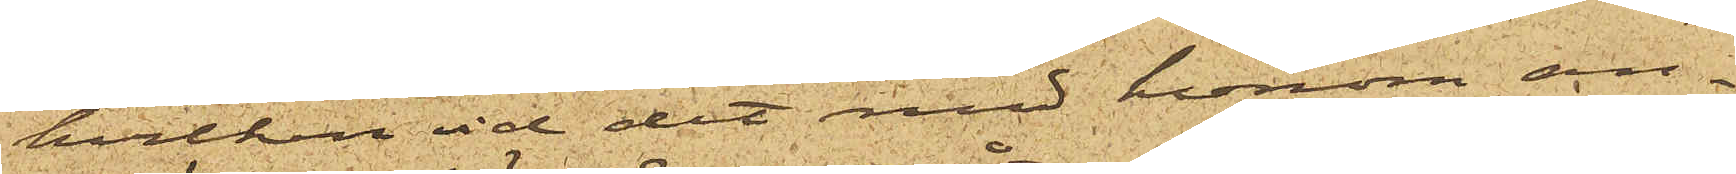hvilken vid det med honom an¬
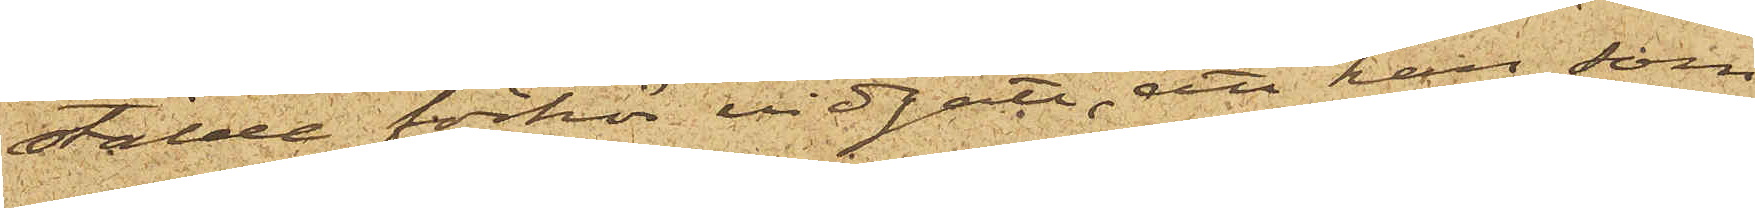stälde förhör vidgått, att han, som
